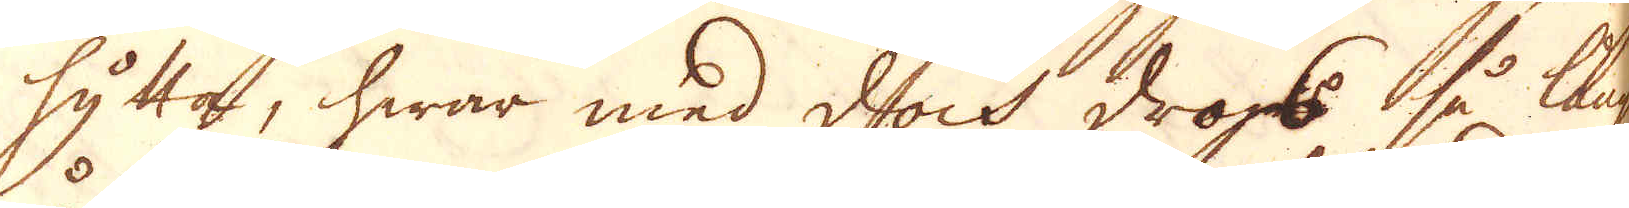hytta, hwar med dock drogs å långt
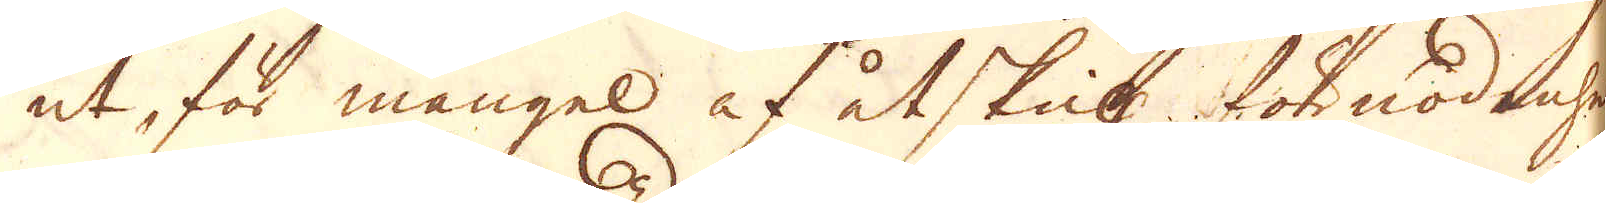ut, för mangel af åtskill förnödenheter
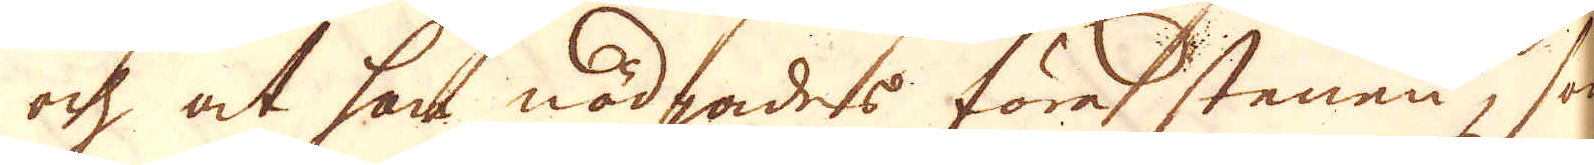och at han nödgades föra stenen, som
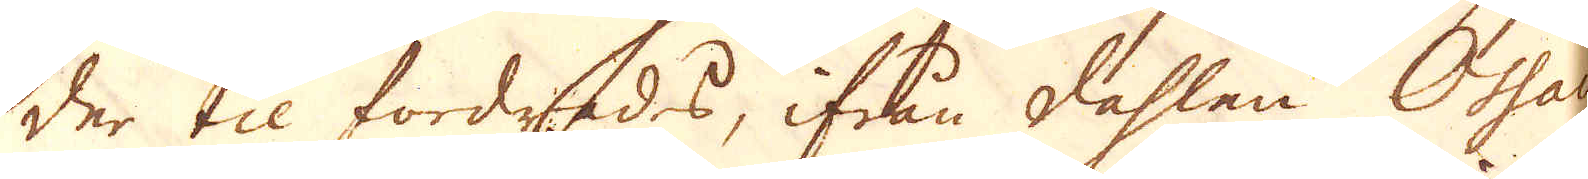der til fordrades, ifrån dahlen Oshau
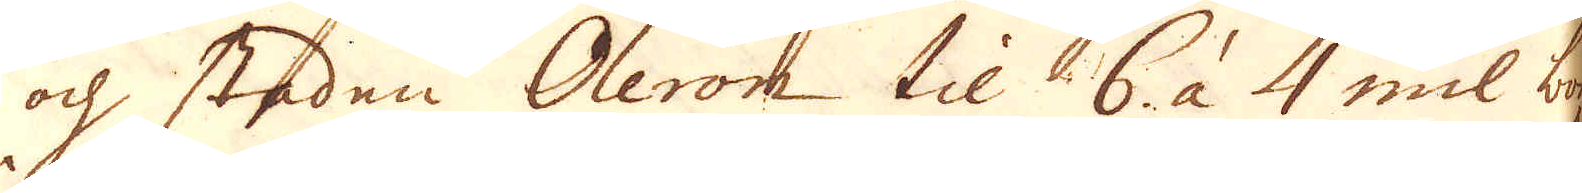och staden Oleron til 6. à 4 mil bort
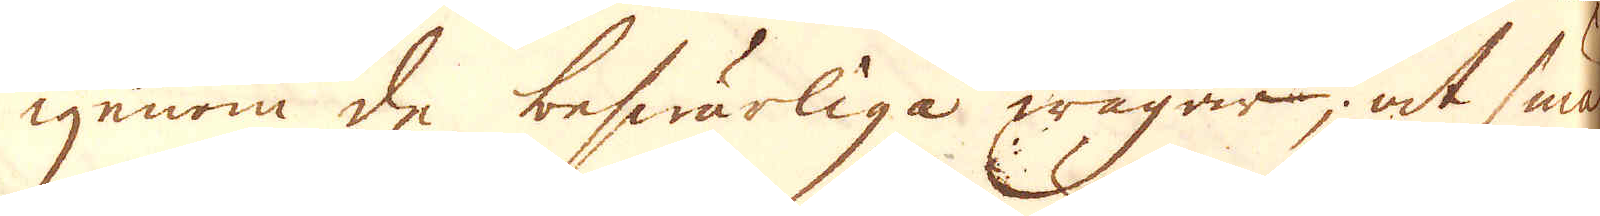igenom de beswärliga wägar, at smält
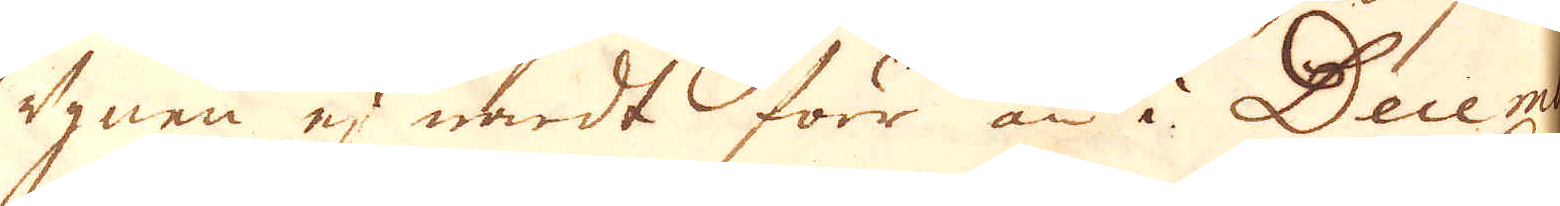ugnen ej wardt förr än i December
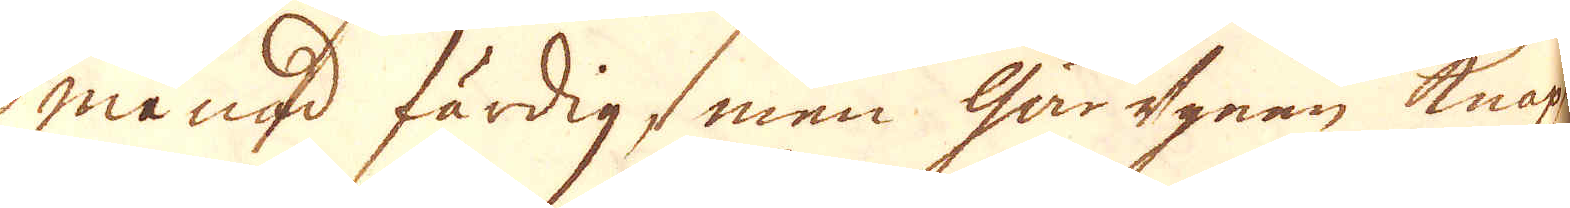månad färdig, men Gårugnen knappt
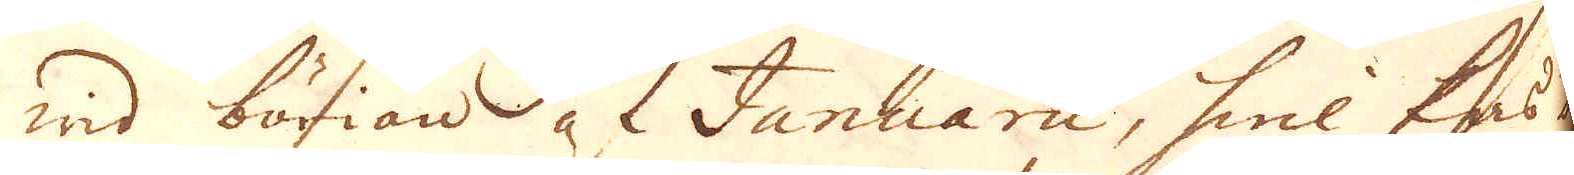wid börian at Januarii, hwilkas be-
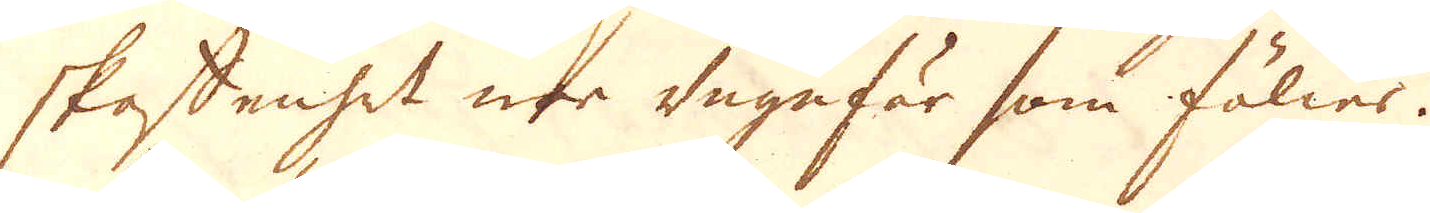skaffenhet war ungefär som fölier.
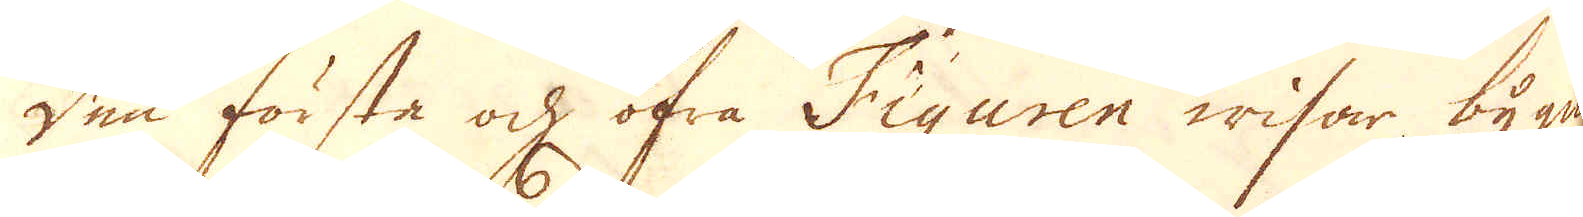Den förste och öfra Figuren wisar bygna-
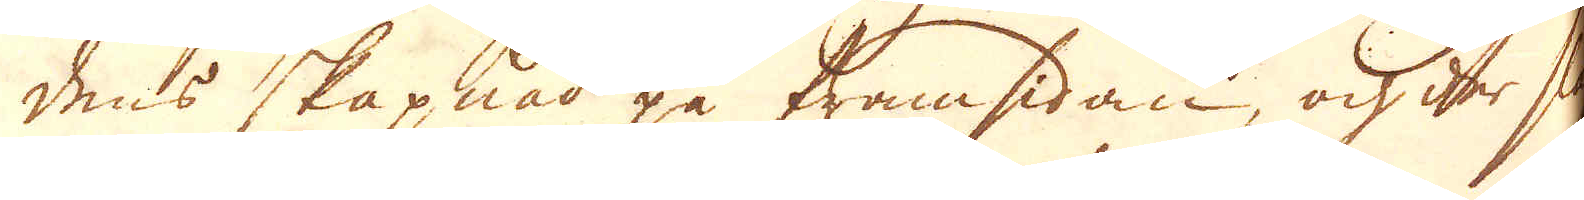dens skapnad på framsidan, och der slag-
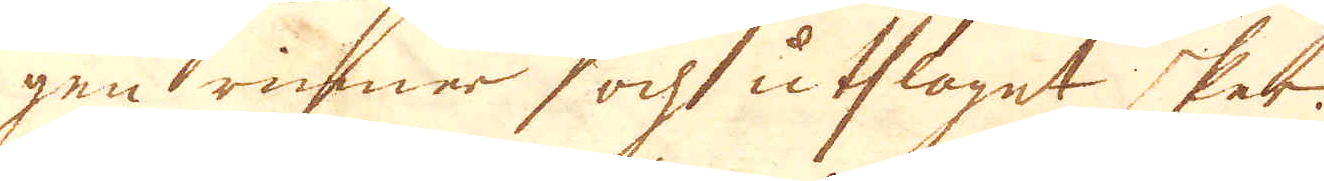gen rinner och utslaget sker.
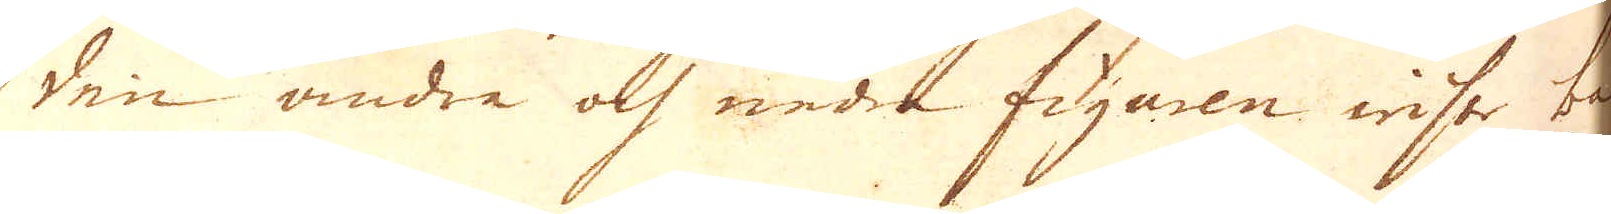Den andra och nedre figuren wiste bak-
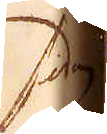sidan
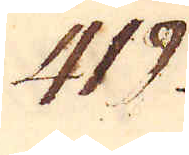419.
